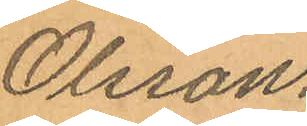Olsson.
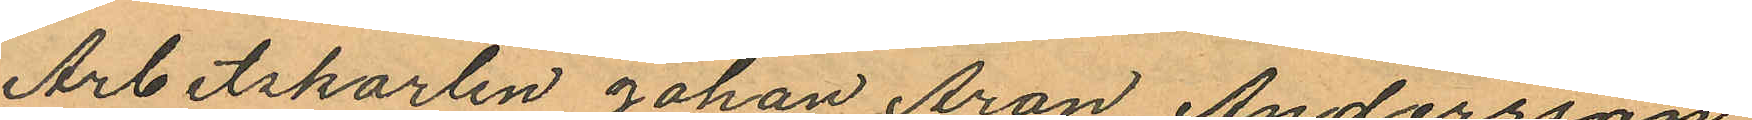Arbetskarlen Johan Aron Andersson
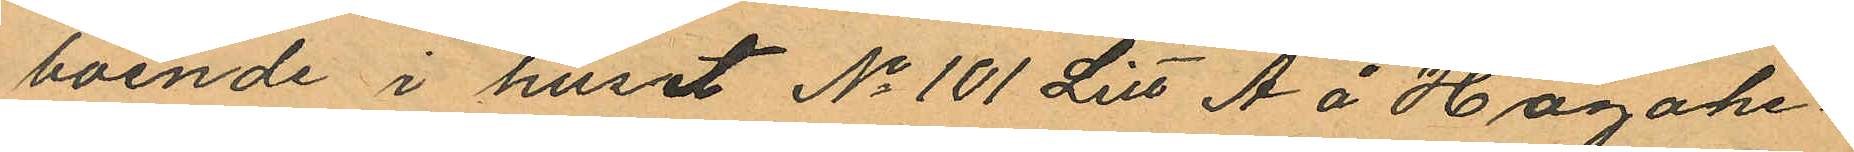boende i huset No 101 Litt A å Hagahe¬
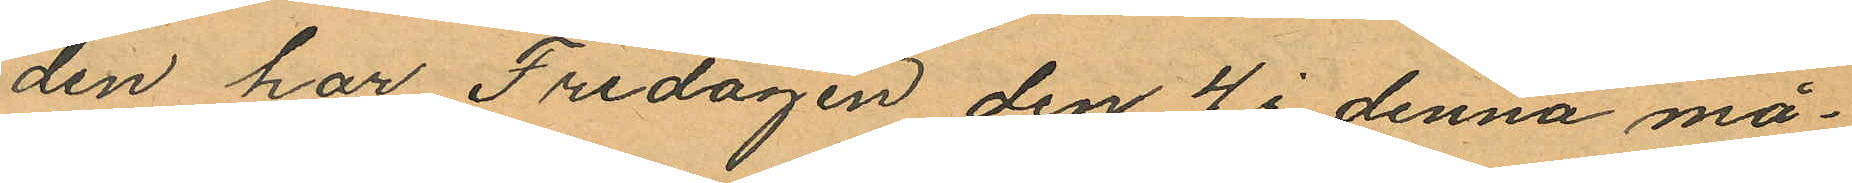den har Fredagen den 4 i denna må¬
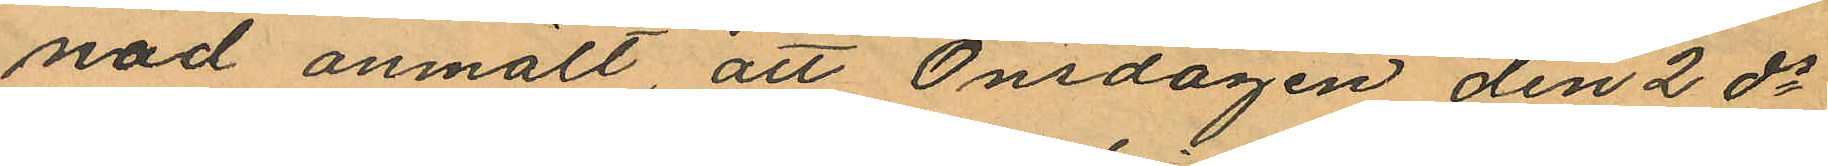nad anmält, att Onsdagen den 2 ds
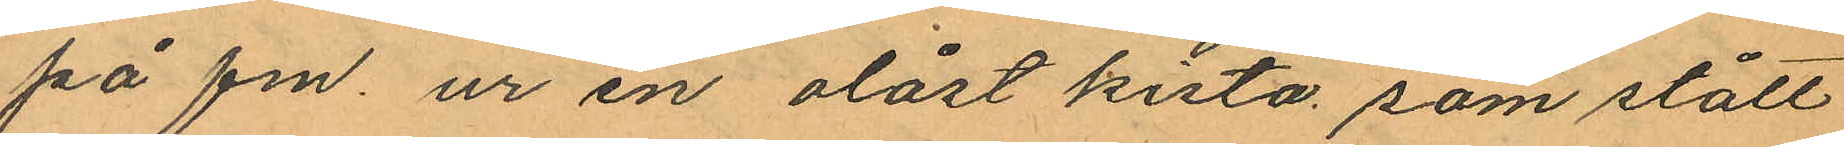på fm ur en olåst kista som stått
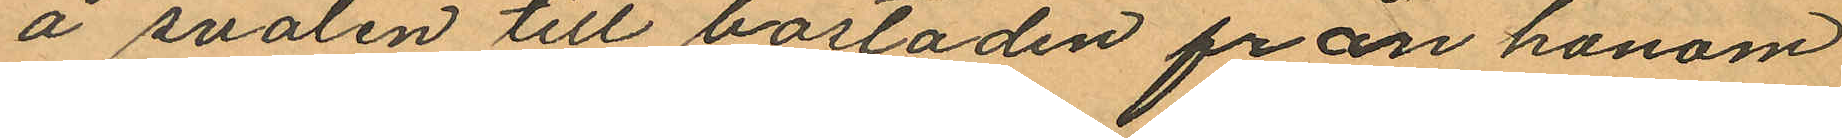å svalen till bostaden från honom
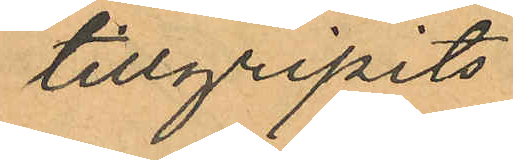tillgripits
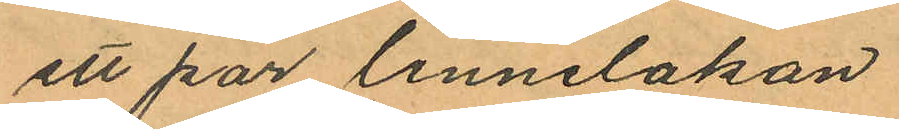ett par linnelakan
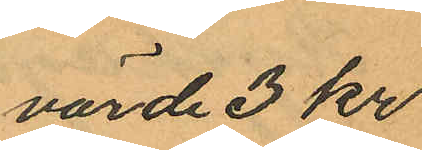värde 3 kr
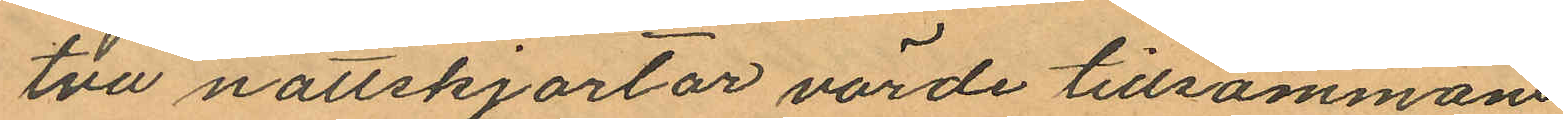två nattskjortor värde tillsammans
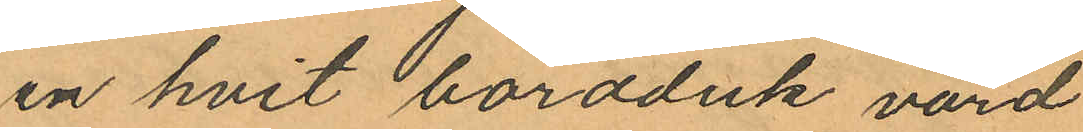en hvit bordduk värd
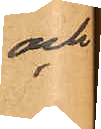och
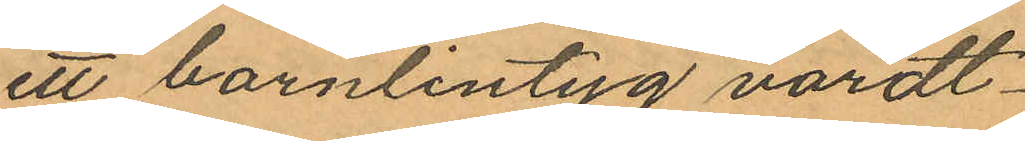ett barnlintyg värdt
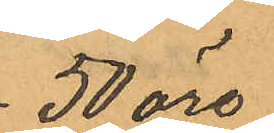50 öre
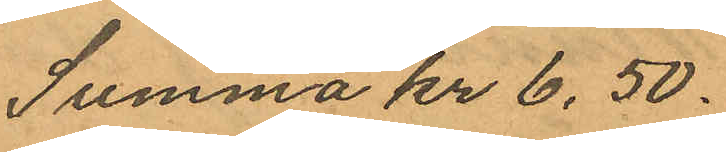Summa kr 6,50.
